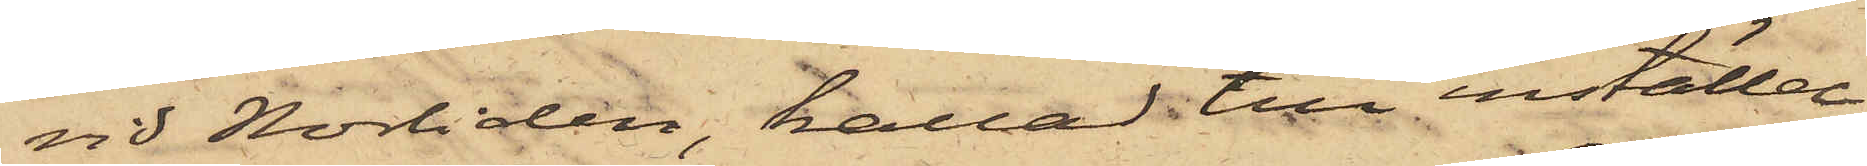vid Norliden, kallad till inställel¬
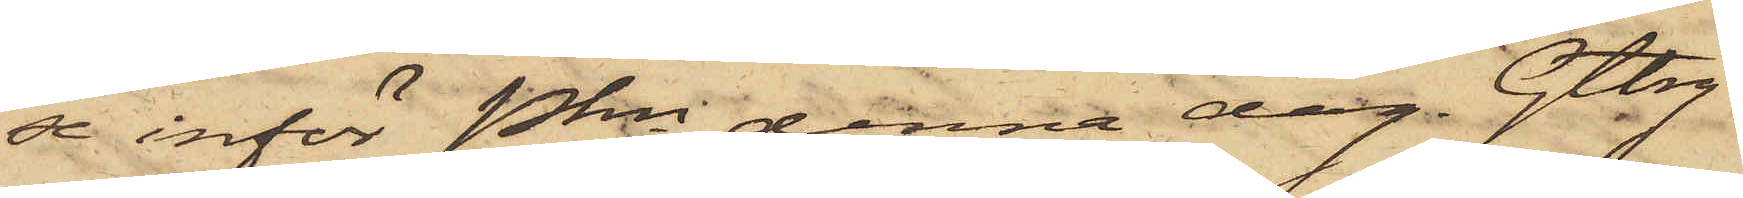se inför Pkn denna dag. Gtbrg
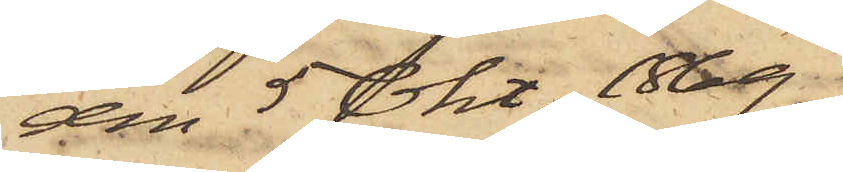den 5 Okt 1869.
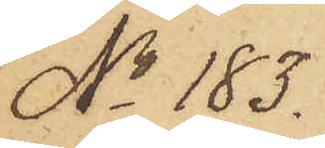No 183.
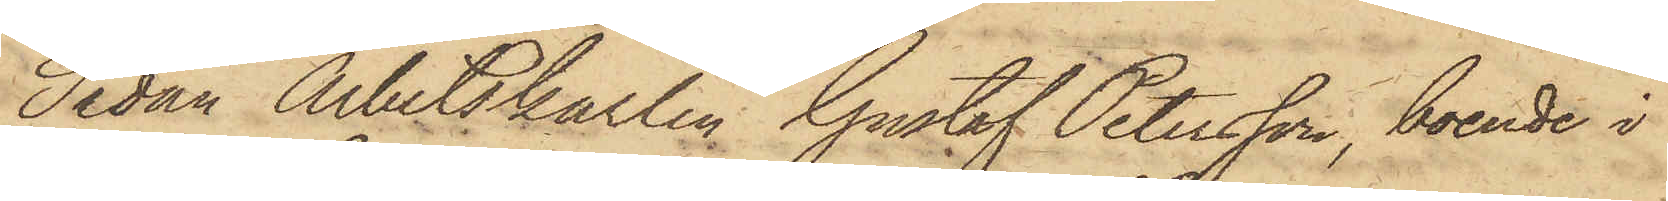Sedan Arbetskarlen Gustaf Petersson, boende i
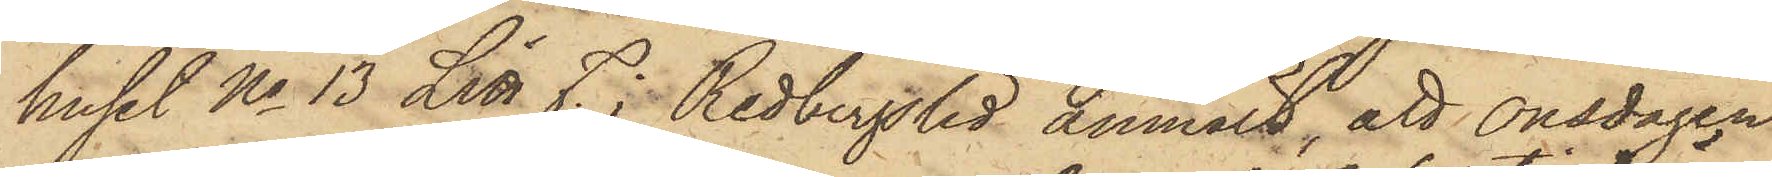huset No 13 Litt J. i Redbergslid anmält, att Onsdagen
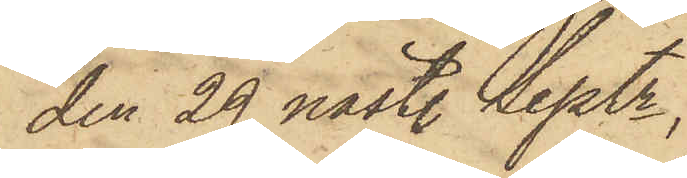den 29 sistl. Septr,
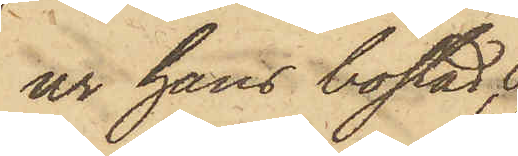ur hans bostad,
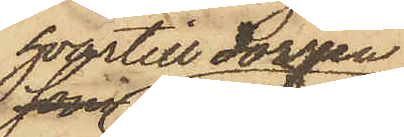hvartill dörren
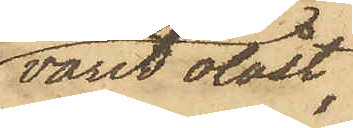varit olåst,
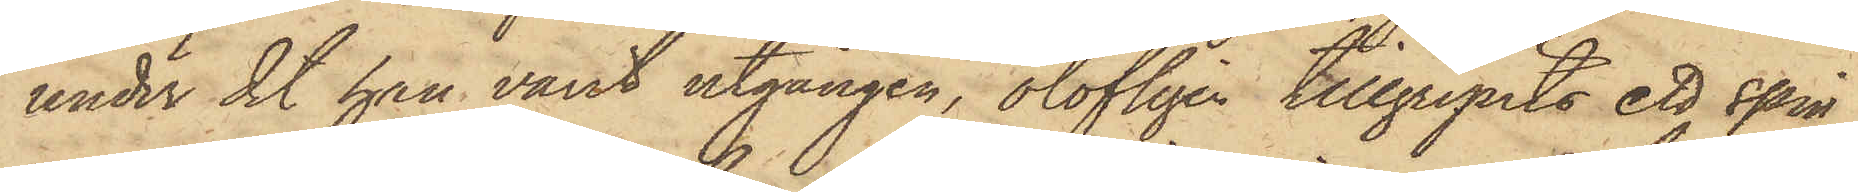under det han varit utgången, olofligen tillgripits ett spin¬
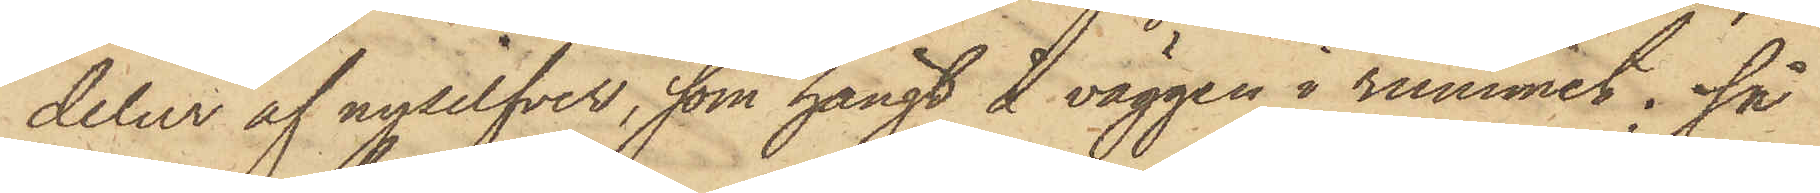delur af nysilfver, som hängt å väggen i rummet; så
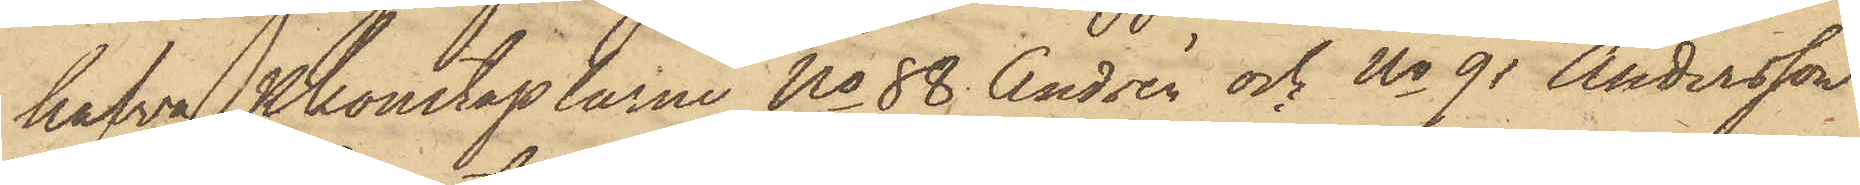hafva Pkonstaplarne No 88 Andrén och No 91 Andersson
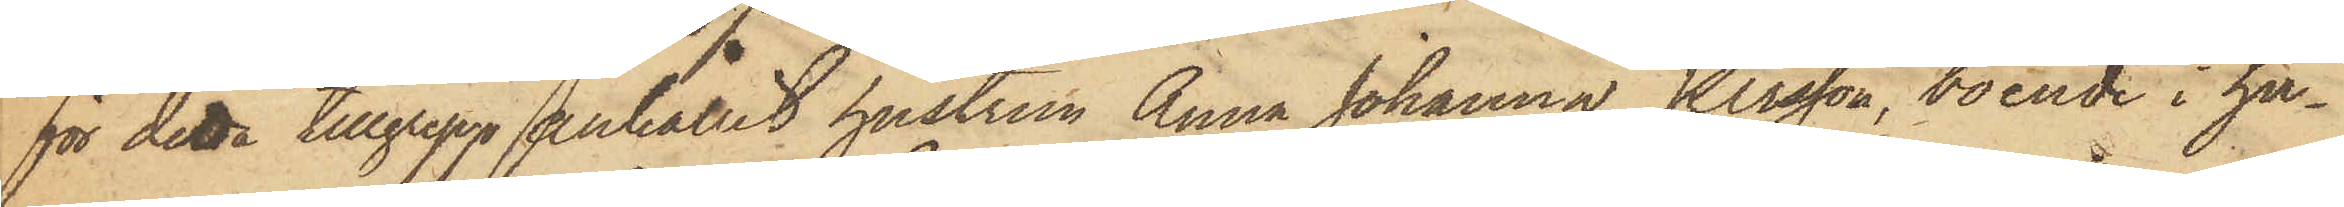för detta tillgrepp anhållit hustrun Anna Johanna Persson, boende i hu¬
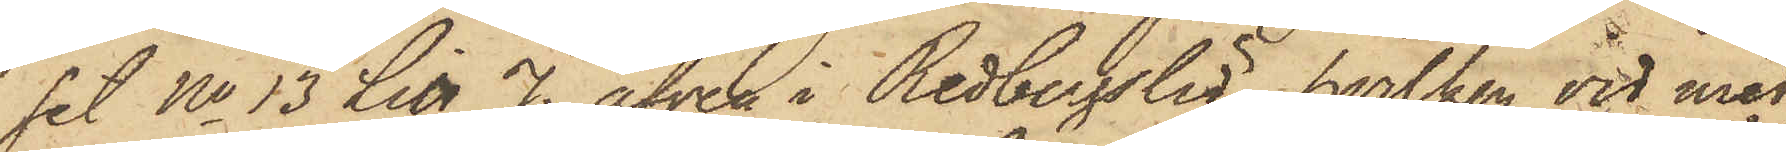set No 13 Litt J., äfven i Redbergslid, hvilken vid med
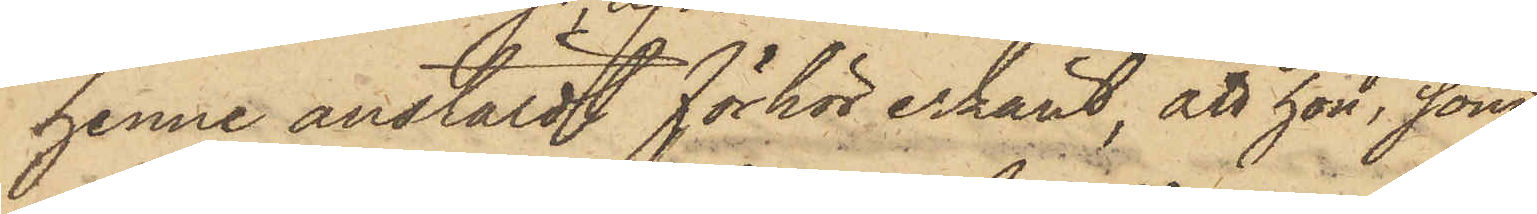henne anstäldt förhör erkänt, att hon, som¬
